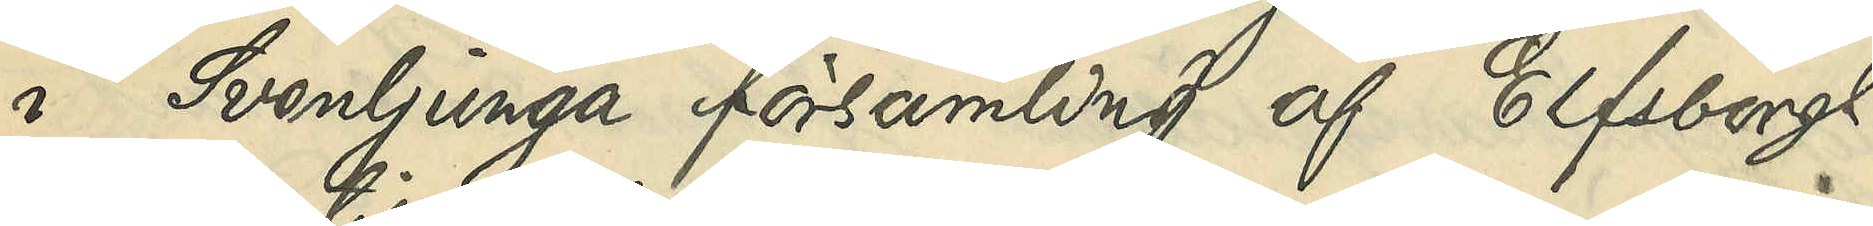i Svenljunga församling af Elfsborgs
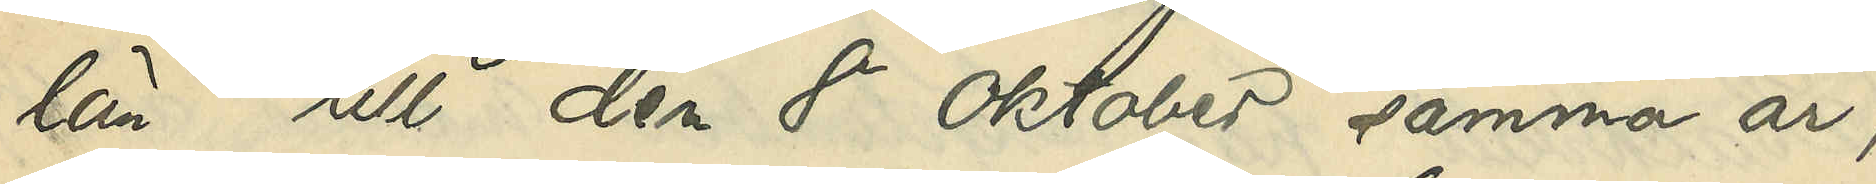län till den 8 Oktober samma år,
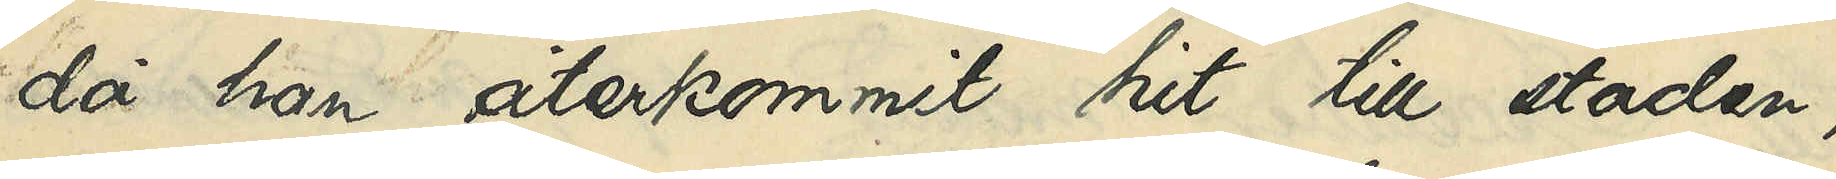då han återkommit hit till staden,
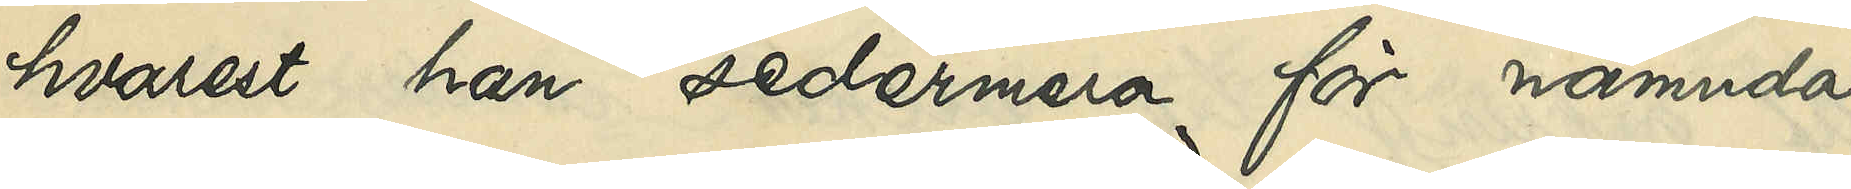hvarest han sedermera för nämnda
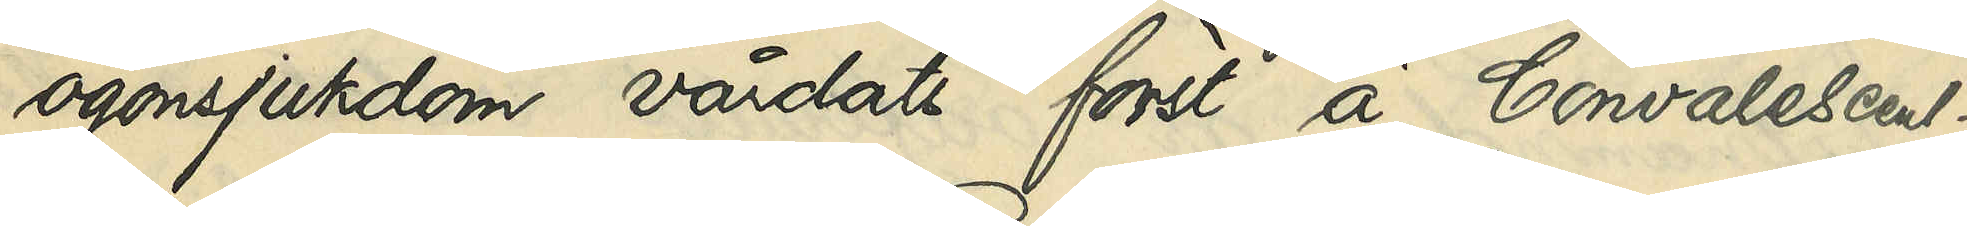ögonsjukdom vårdats först å Convalescent¬
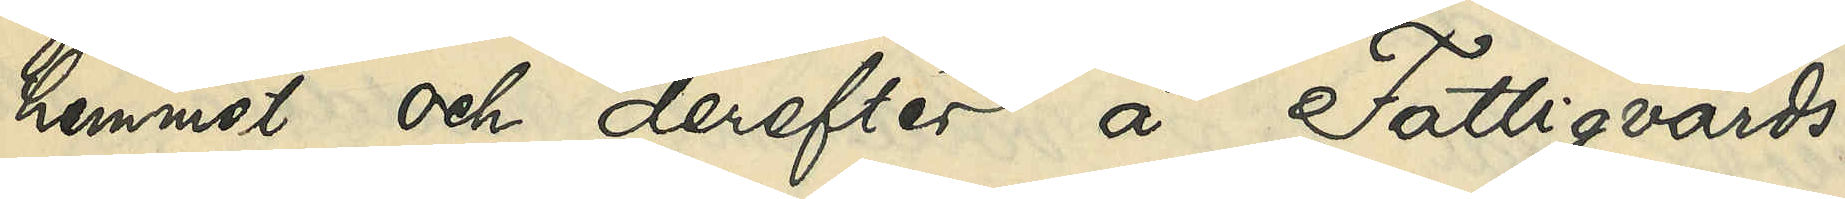hemmet och derefter a Fattigvårds¬
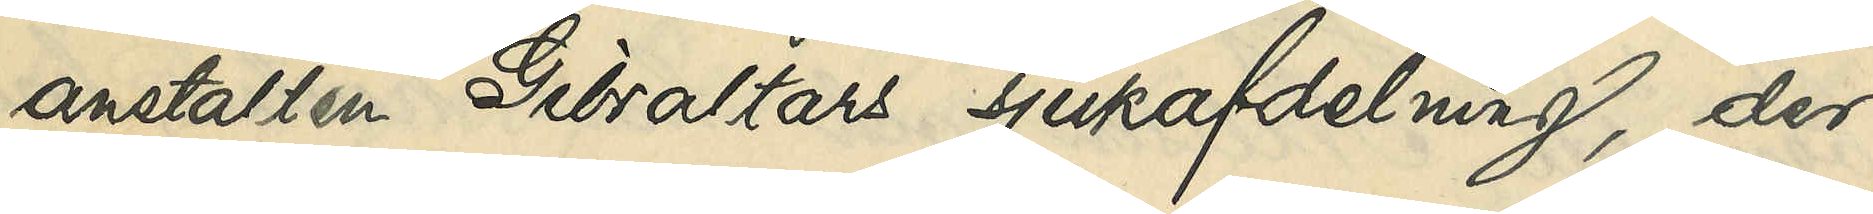anstalten Gibraltars sjukafdelning, der
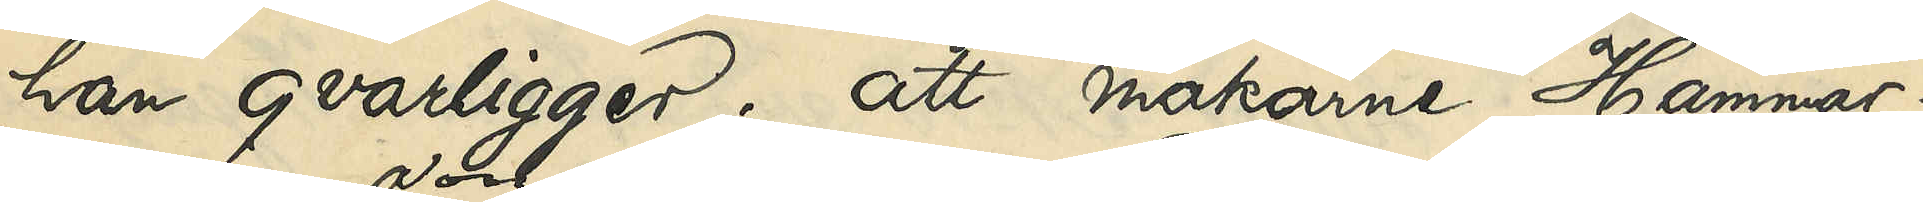han qvarligger; att makarne Hammar¬
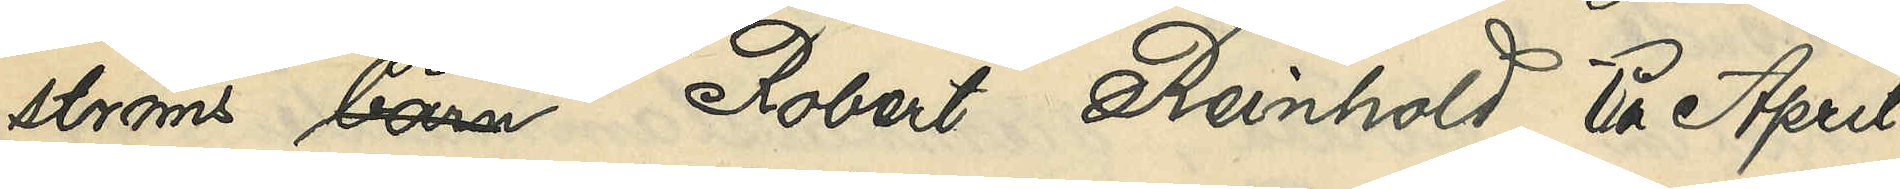ströms son Robert Reinhold till April
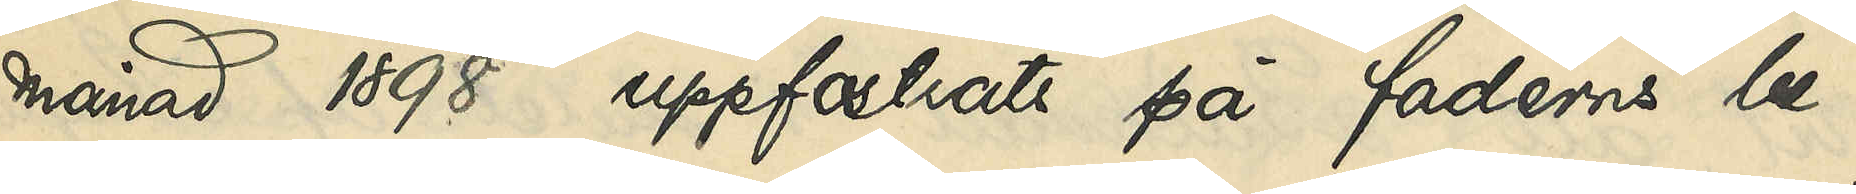månad 1898 uppfostrats på faderns be¬
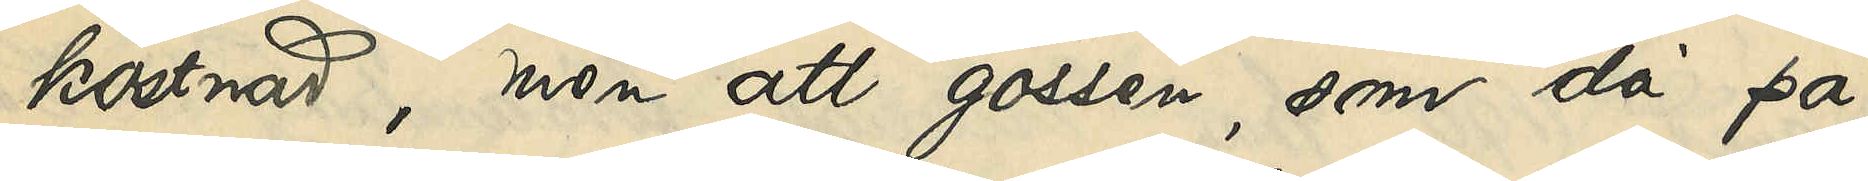kostnad, men att gossen, som då på
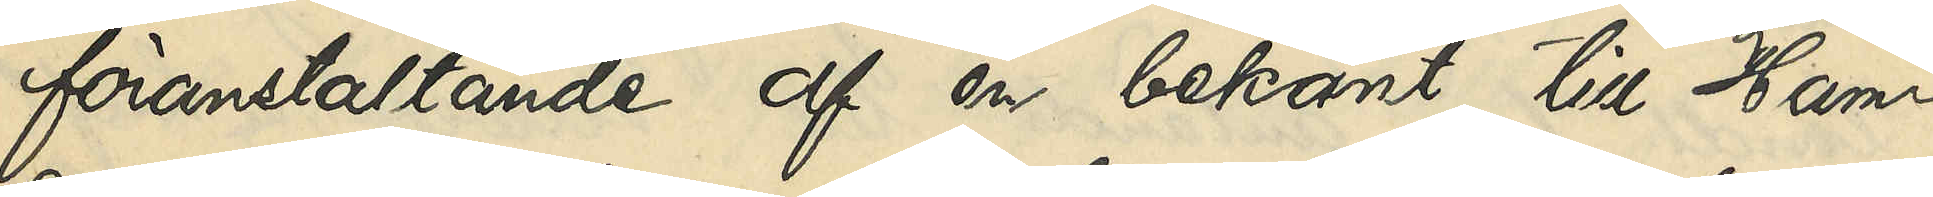föranstaltande af en bekant till Ham¬
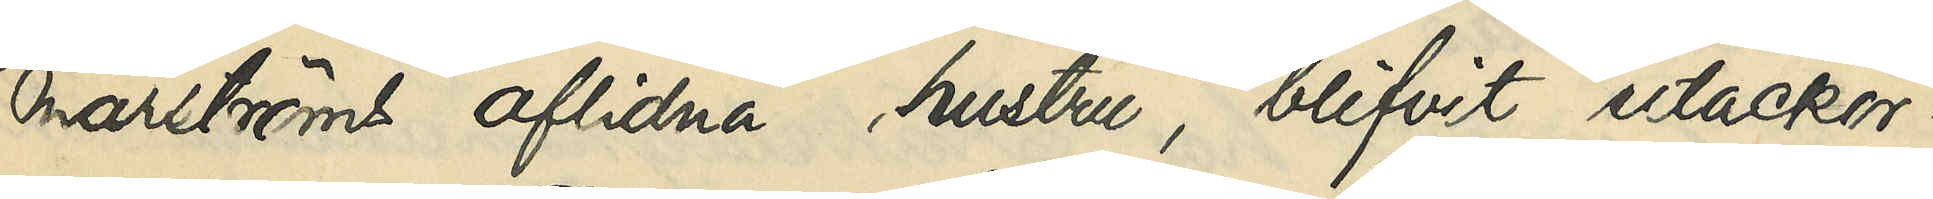marströms aflidna hustru, blifvit utackor¬
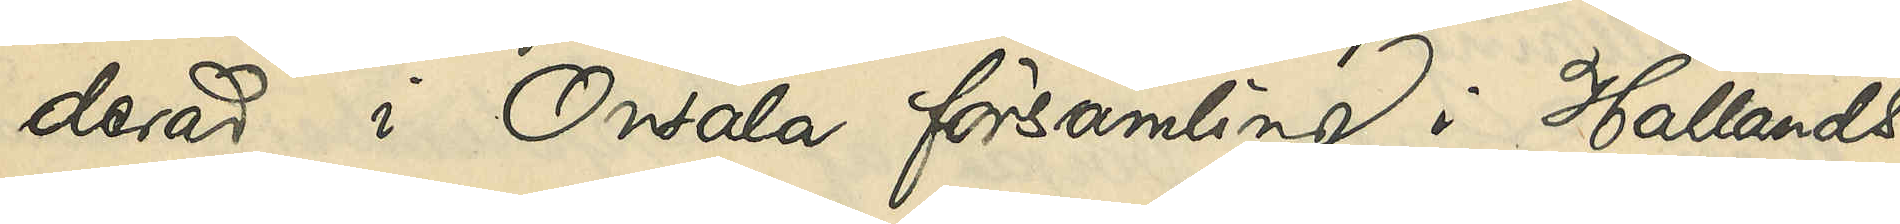derad i Onsala församling af Hallands
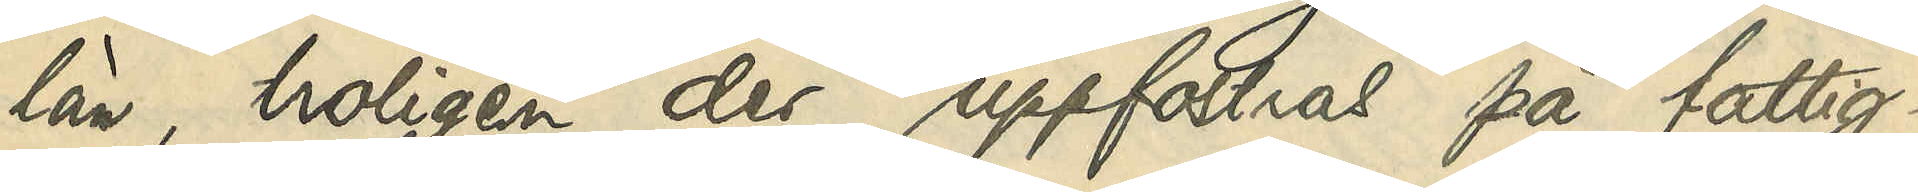län, troligen der uppfostrad på fattig¬
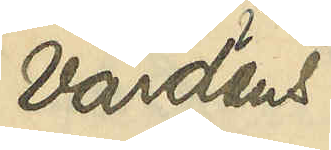vårdens
